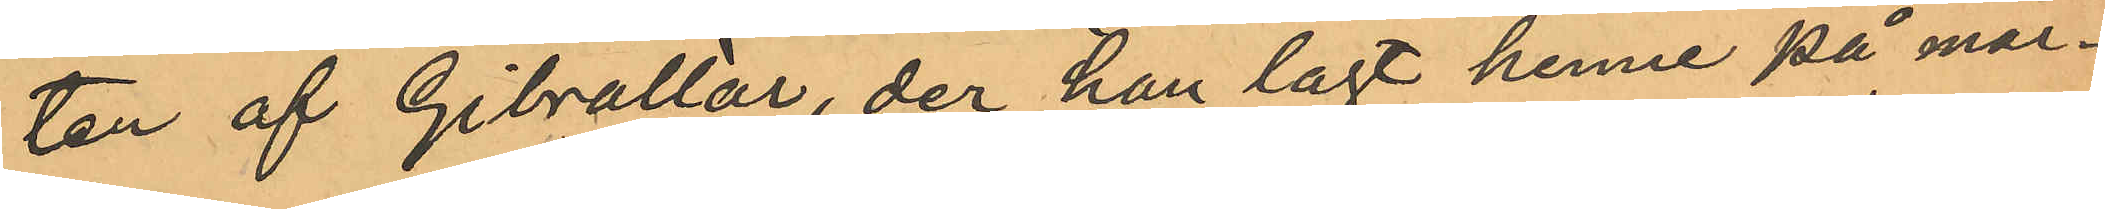ten af Gibrallar, der han lagt henne på mar¬
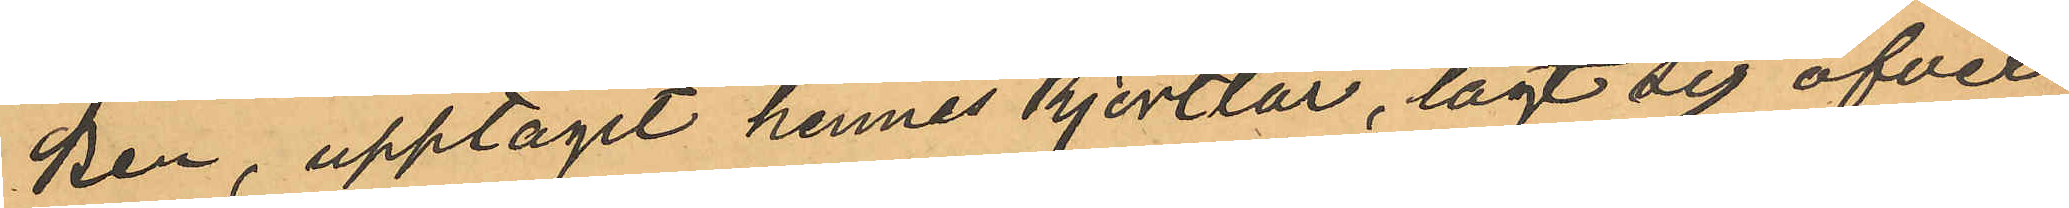ken, upptagit hennes kjortlar, lagt sig öfver
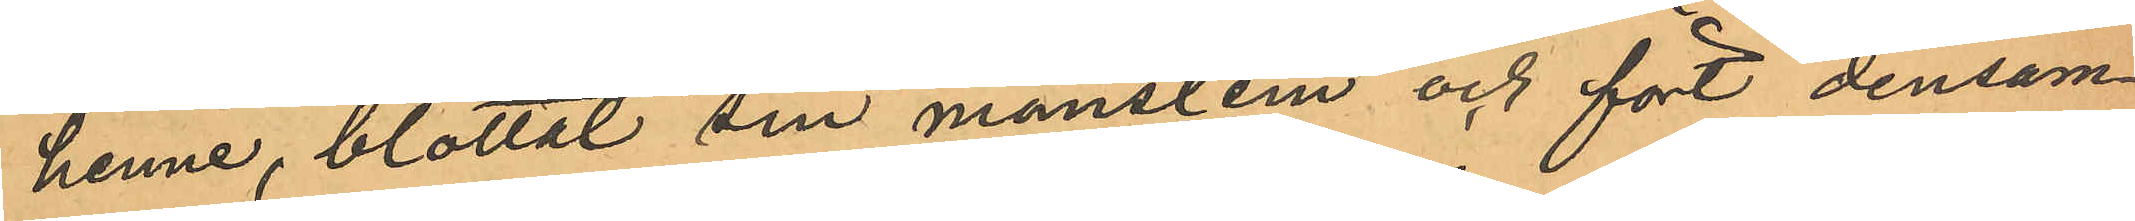henne, blottat sin manslem och fört densam¬
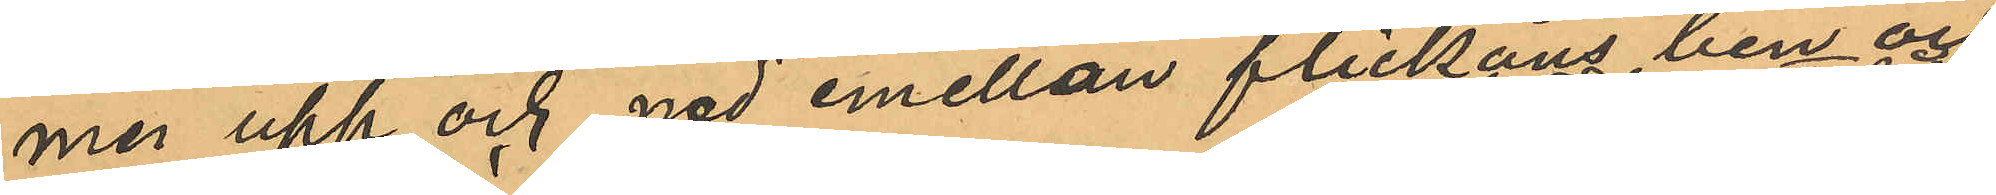ma upp och ned emellan flickans ben och
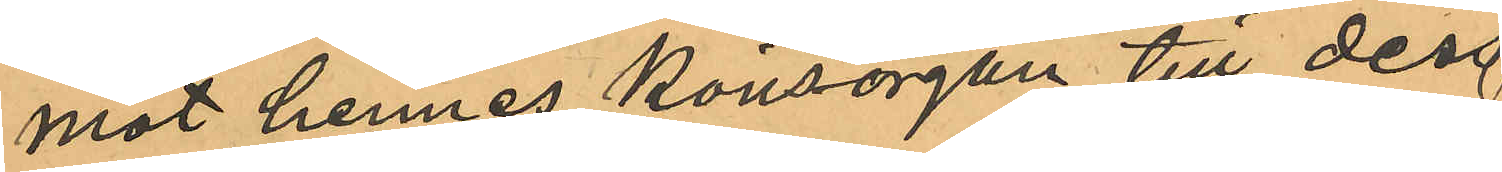mot hennes könsorgan till dess
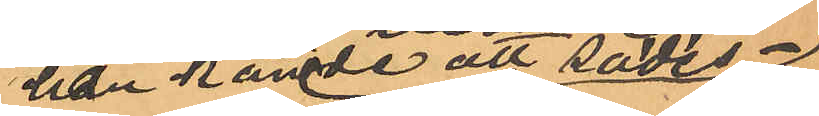han kände att sädes¬
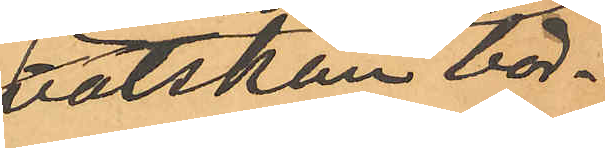vätskan bör¬
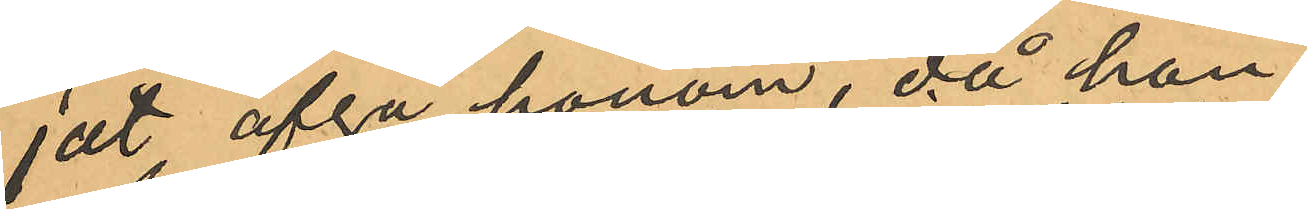jat afgå honom, då han
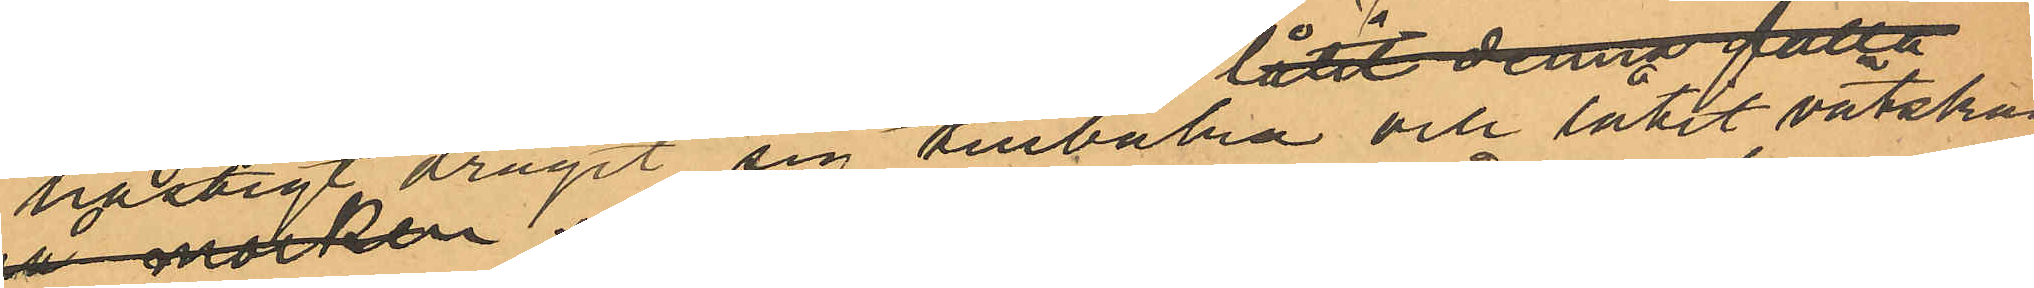hastigt dragit sig tillbaka och låtit vätskan
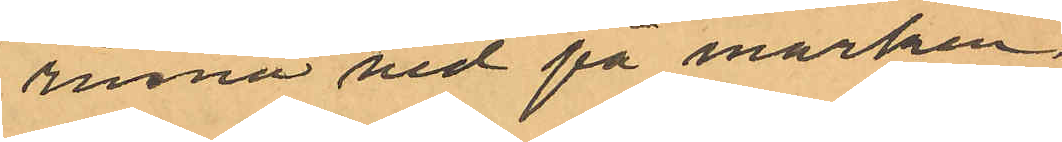rinna  ned på marken,
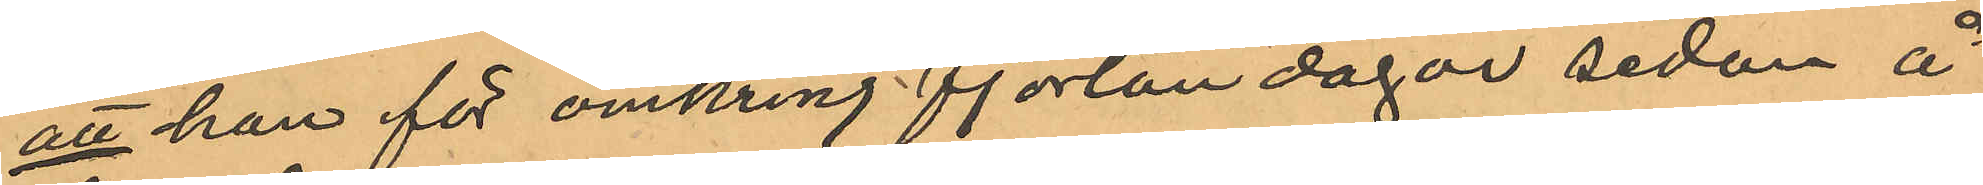att han för omkring fjorton dagar sedan å
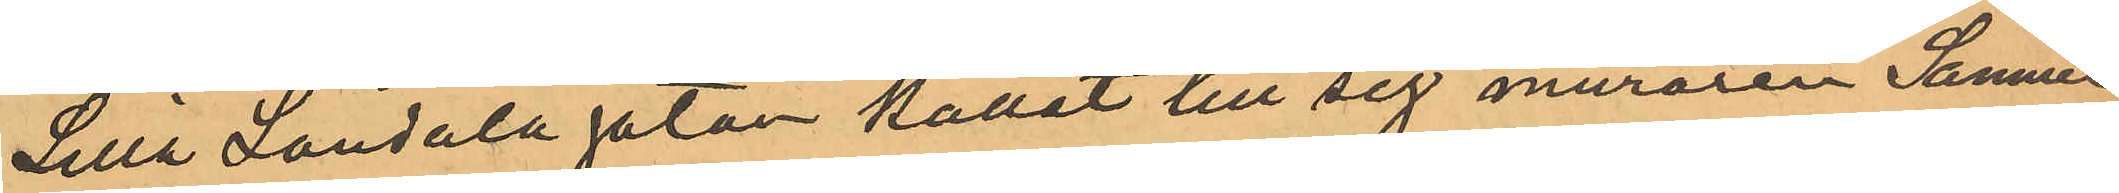Lilla Landalagatan kallat till sig muraren Samuel
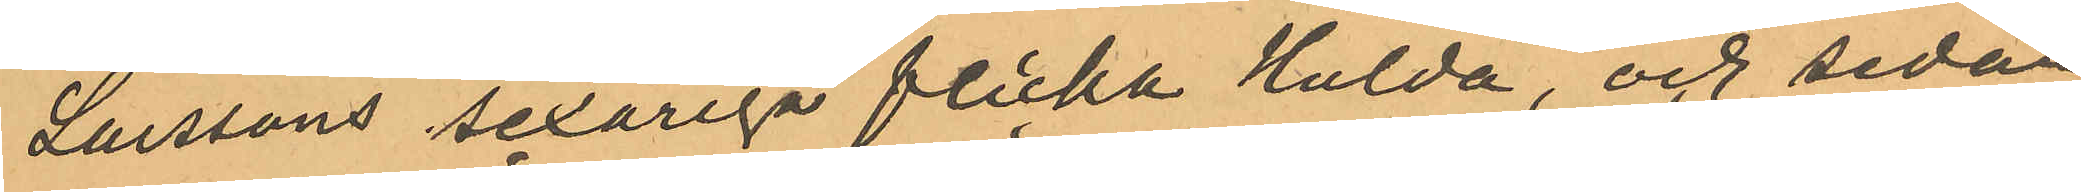Larssons sexåriga flicka Hulda, och sedan
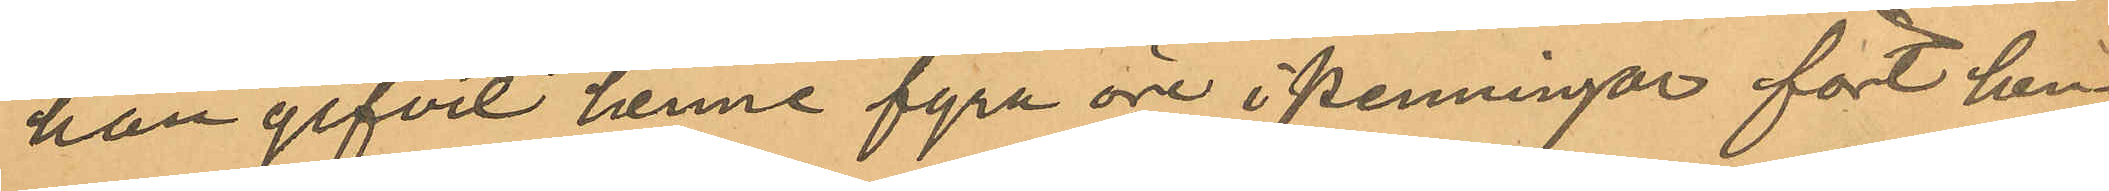han gifvit henne fyra öre i penningar fört hen¬
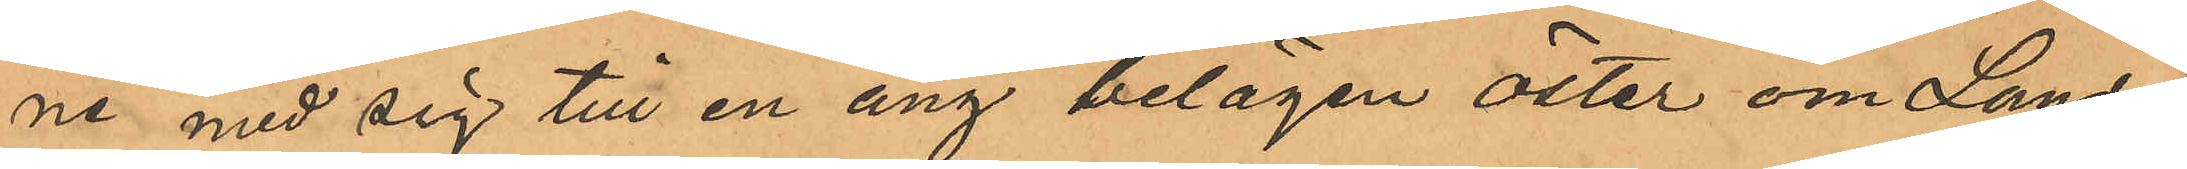ne med sig till en äng belägen öster om Landala
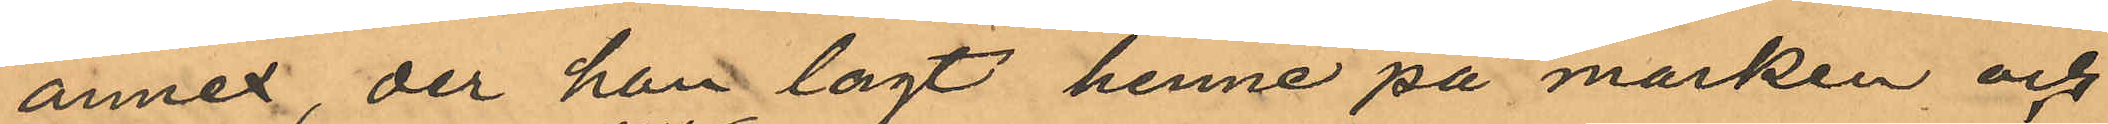annex, der han lagt henne på marken och
